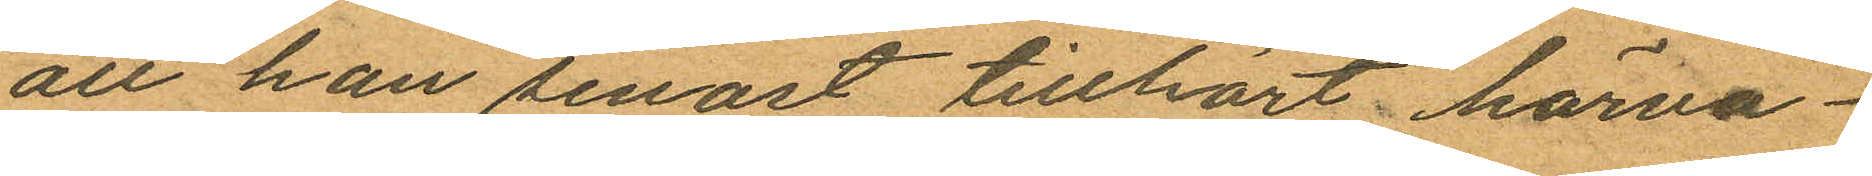att han senast tillhört härva¬
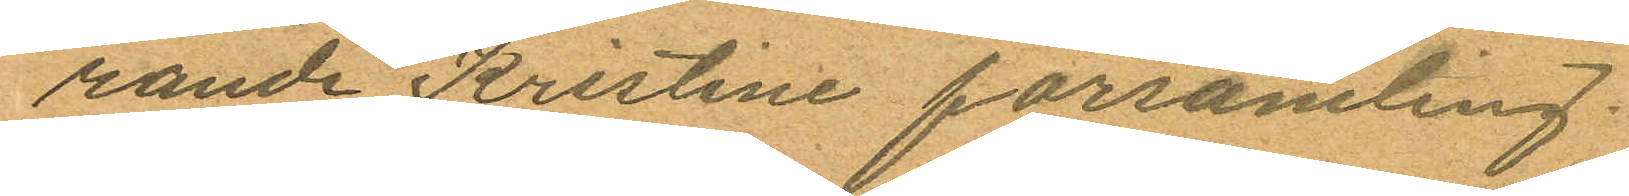rande Kristine församling.
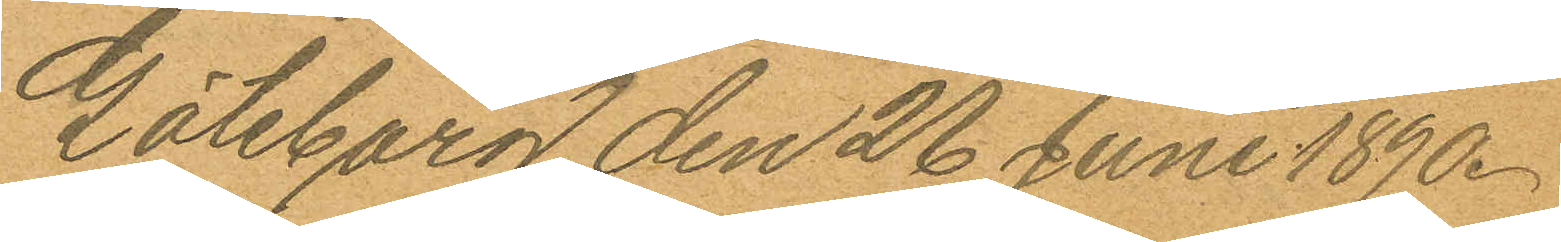Göteborg den 26 Juni 1890.
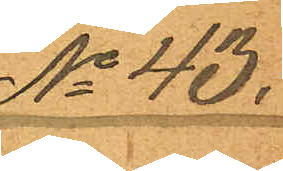No 43.
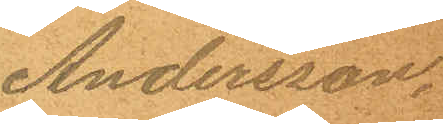Andersson.
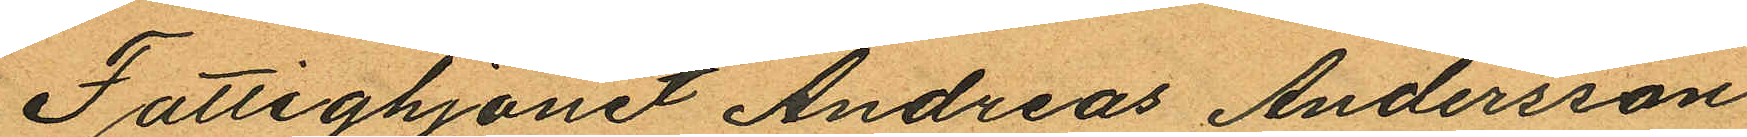Fattighjonet Andreas Andersson
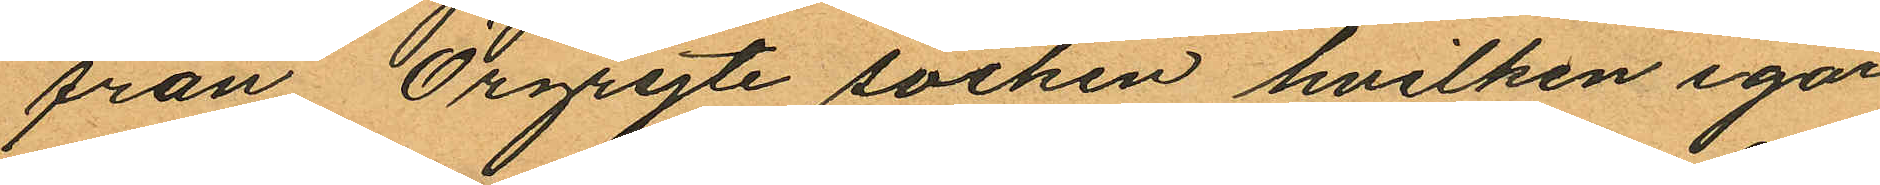från Örgryte socken hvilken igår
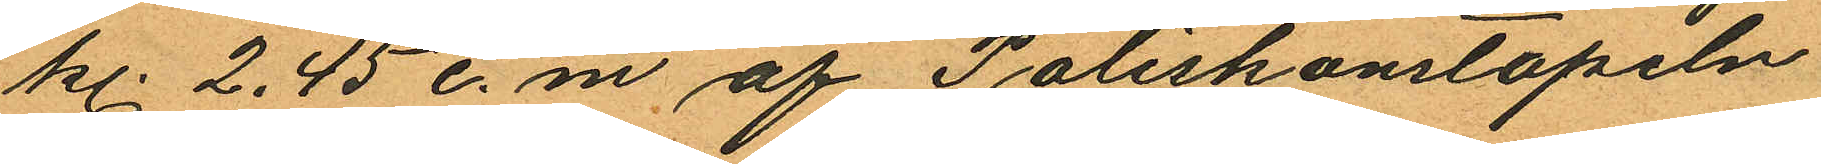kl. 2.45 e.m af Poliskonstapeln
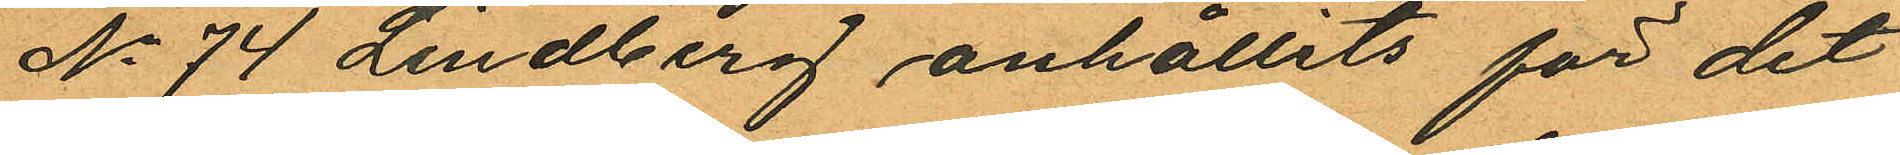No 74 Lindberg anhållits för det
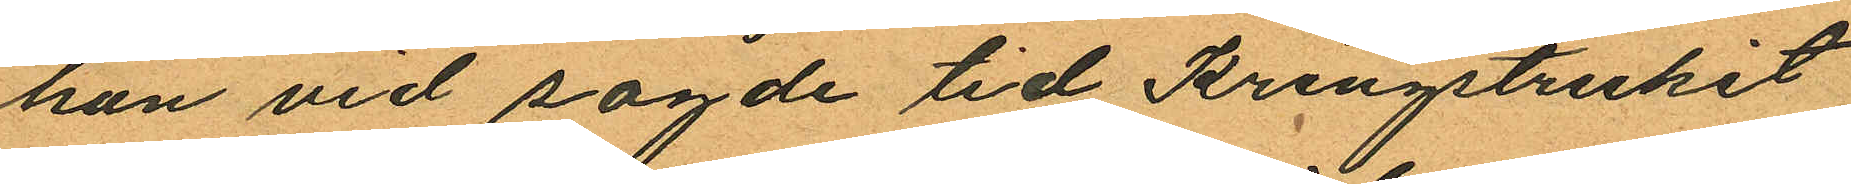han vid sagde tid kringstrukit
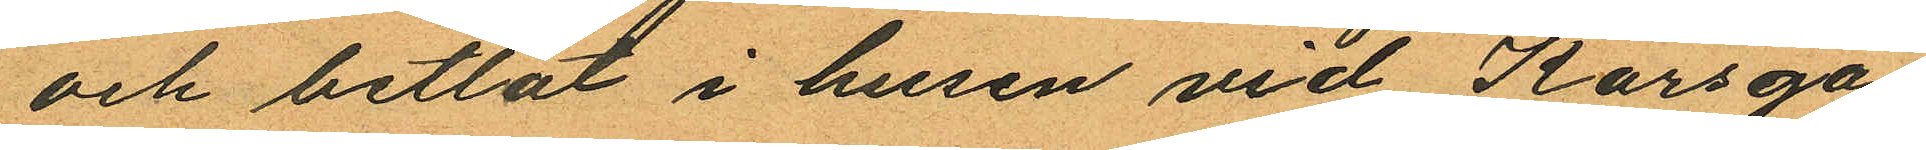och betlat i husen vid Korsga¬
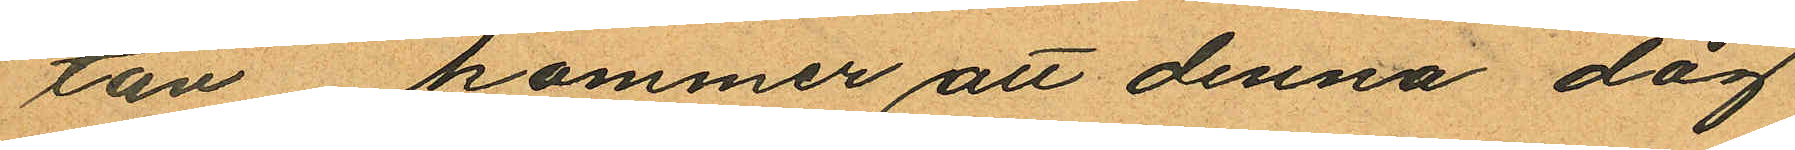tan kommer att denna dag
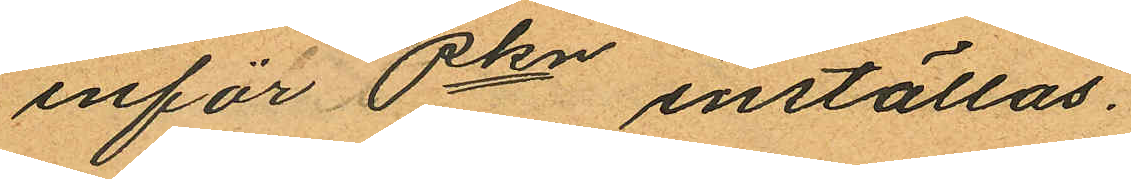inför Pkn inställas.
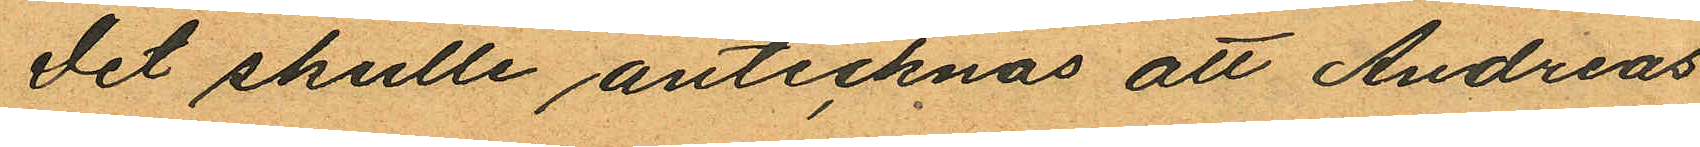Det skulle antecknas att Andreas
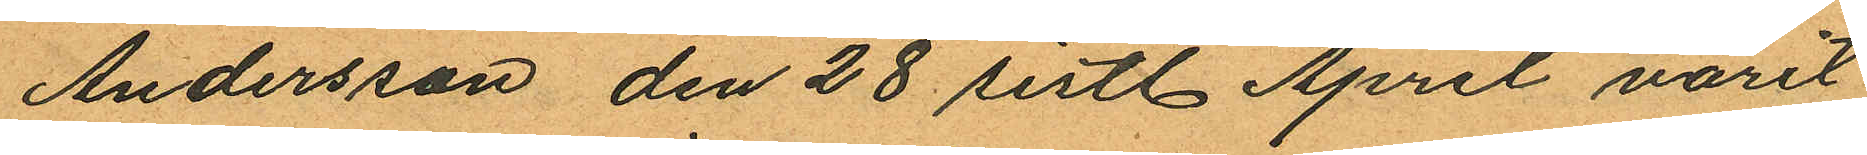Andersson den 28 sistl. April varit
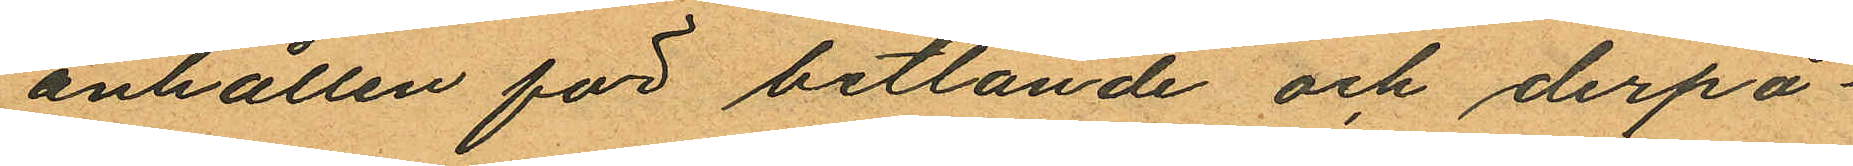anhållen för betlande och derpå¬
